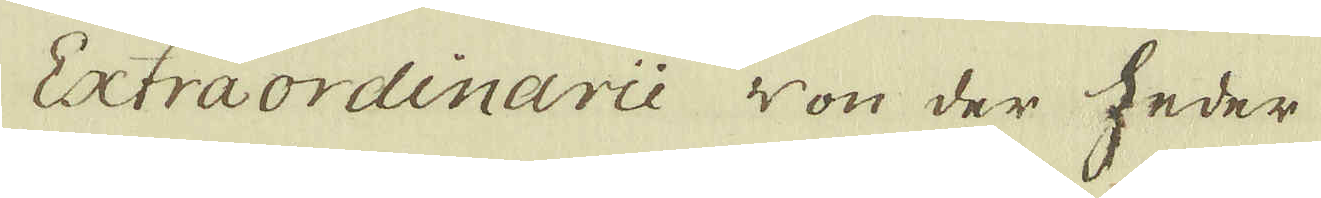Extraordinarie von der heder
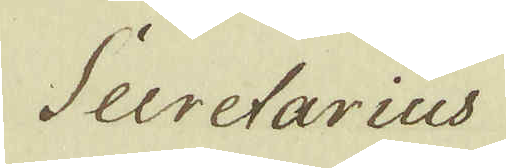Secretarius
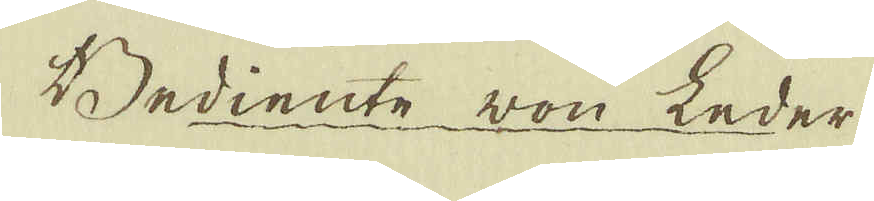Bediente von Leder
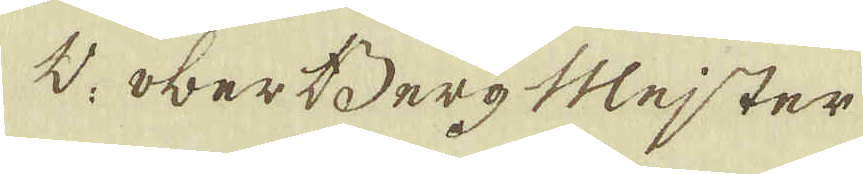V. Ober Berg Mejster
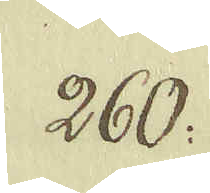260:
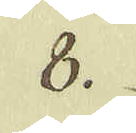8.
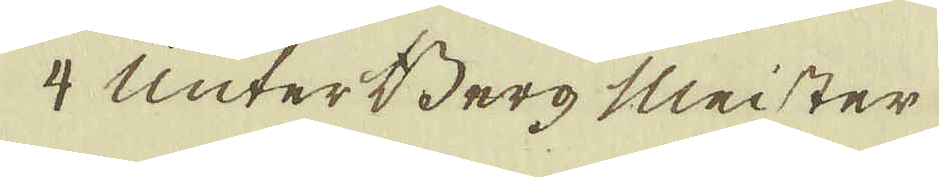4 Unter Berg Meister
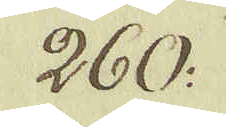260:
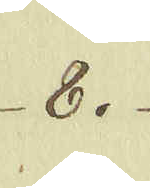8.
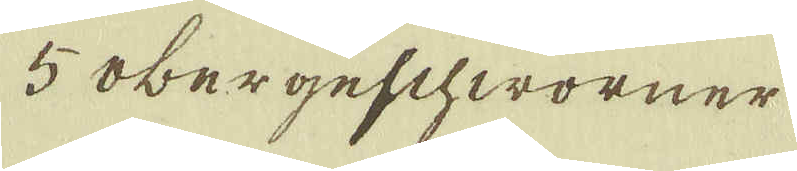5 obergeschworner
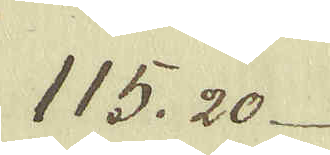115. 20
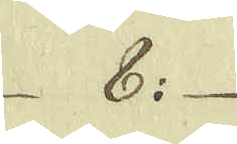8: 
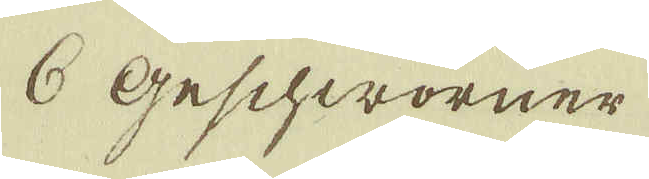6 Geschworner
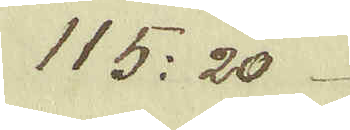115: 20
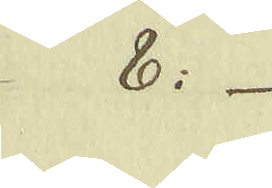8:
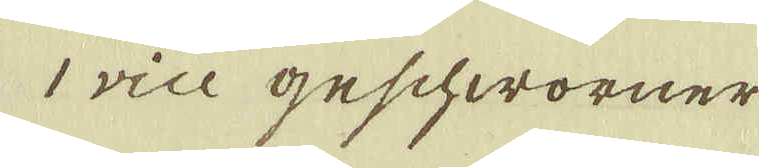1 vice geschworner
